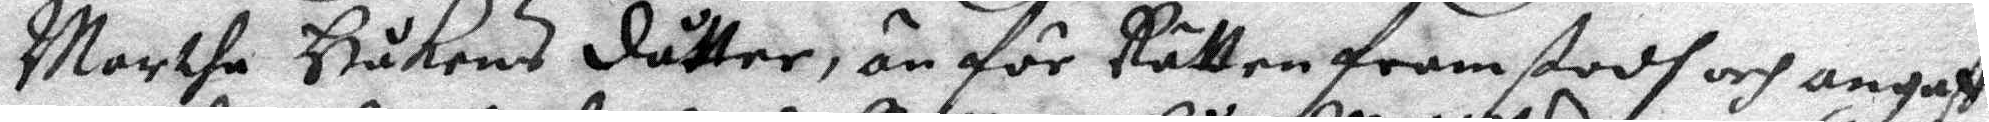Marthe Håkens dåtter, än för Rätten framstodh och angaff
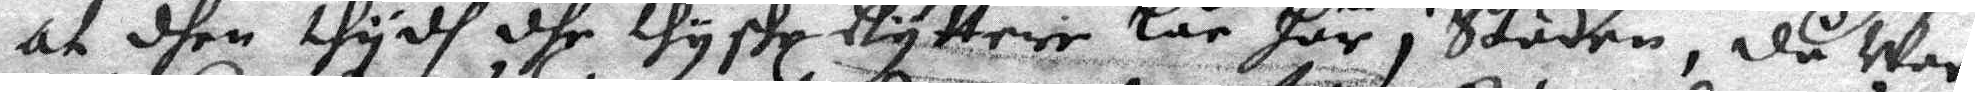at dhen thydh dhe thyske Rytterne lår här i Staden, då war
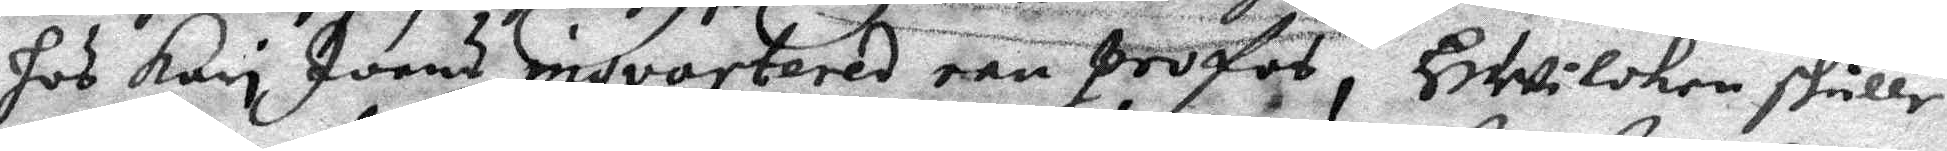hos Kari Joans inqverterad een profos, HWilken skulle
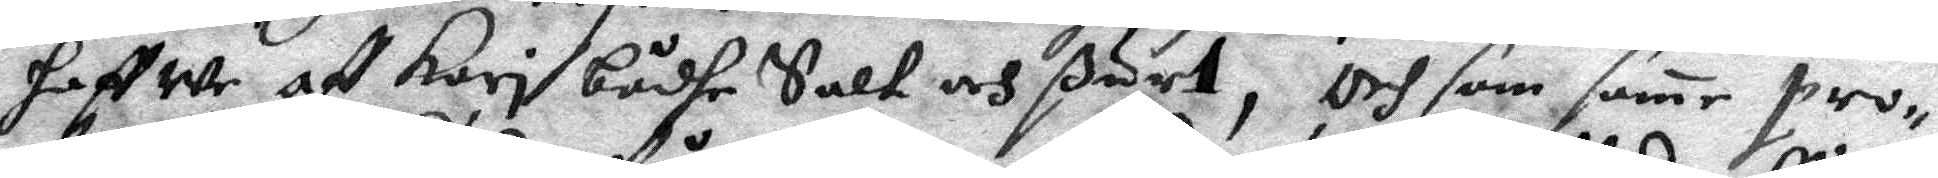haffwe af Kari bådhe Salk och ßurt, Och som same pro¬
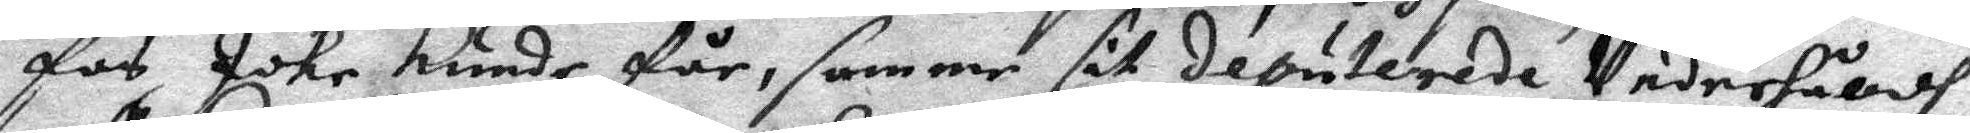fos icke kunde får, samme sit deputerade Underhåldh
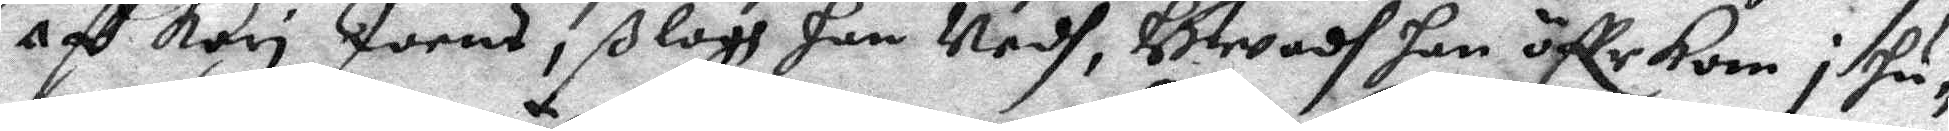aff Kari Joens, ßlogh han Nedh, Hwadh han öffr kom i hu¬
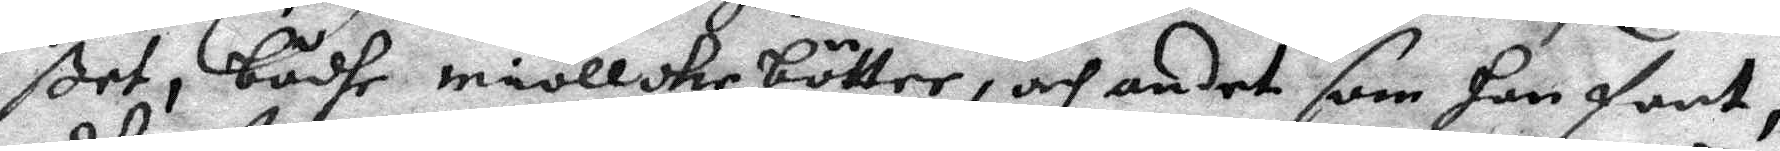ßet, bådhe miöllckebötter, och andet som han fant,
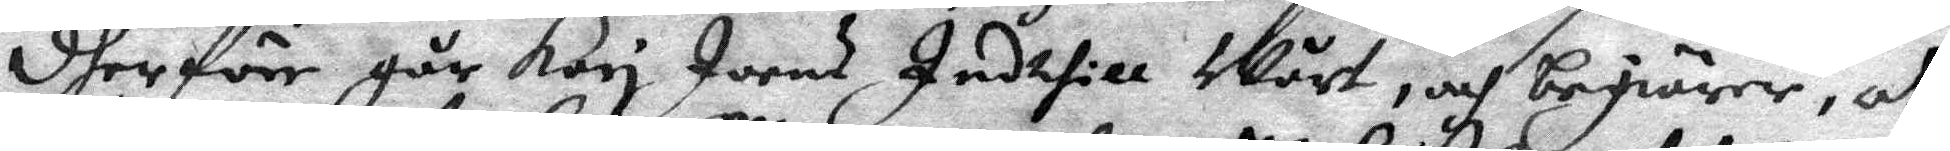dherföre går Kori Joens Indthill Wårt, och begiärer, at
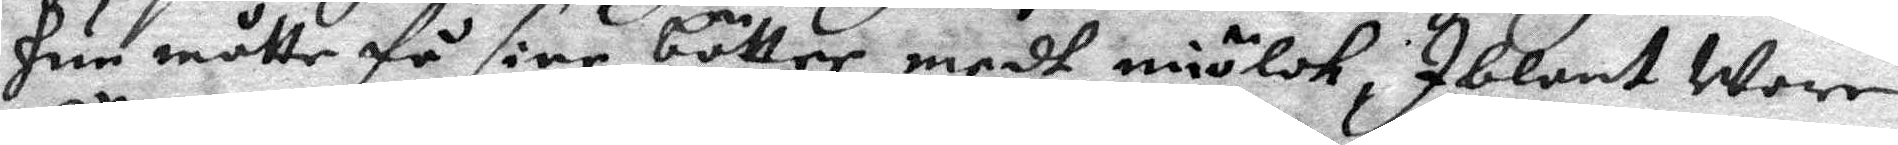hun måtte få sine bötter medh miölck; Iblant wore
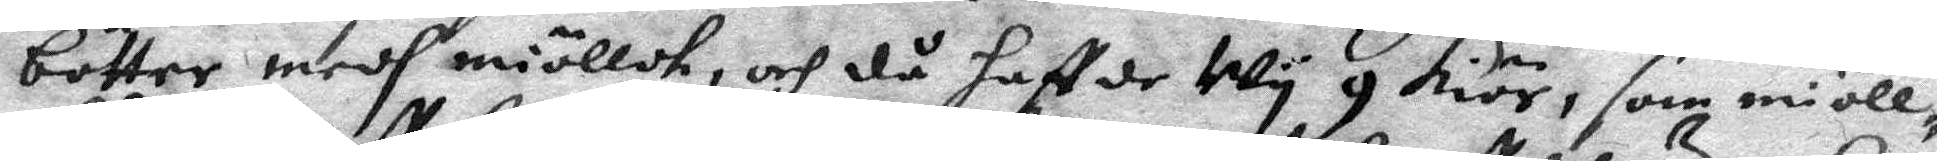bötter medh miöllck, och då haffde Wy 9 kiör, som miöll¬
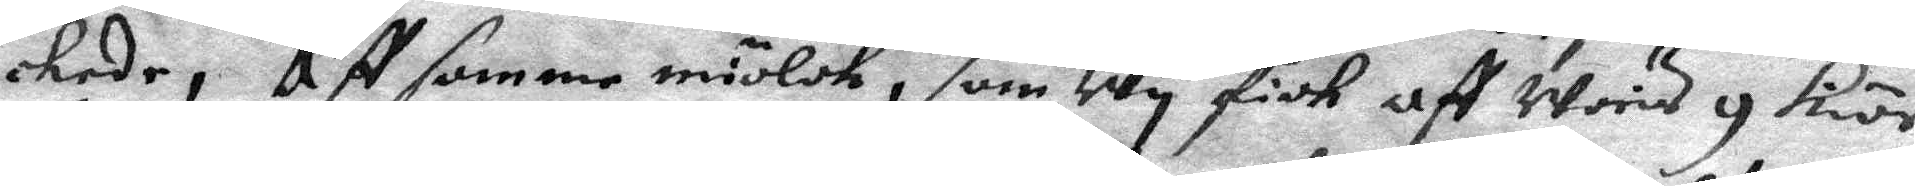ckede, Aff samme miölck, som Wy fick aff Woris g kiör
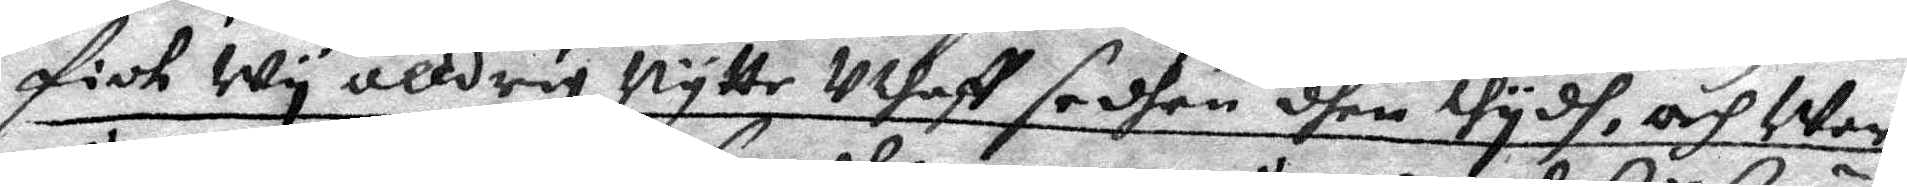fick Wy alldrig Nytte uthaff sedhan dhen thydh, och Wor
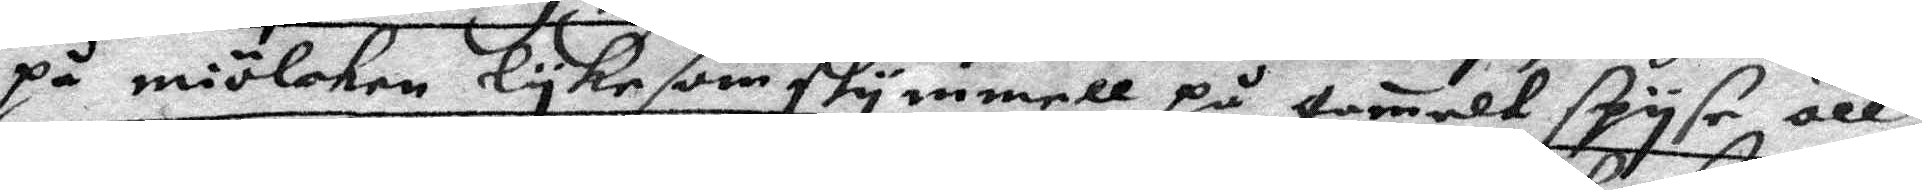på miölcken lyke som skymmell på gamelt spyse öll
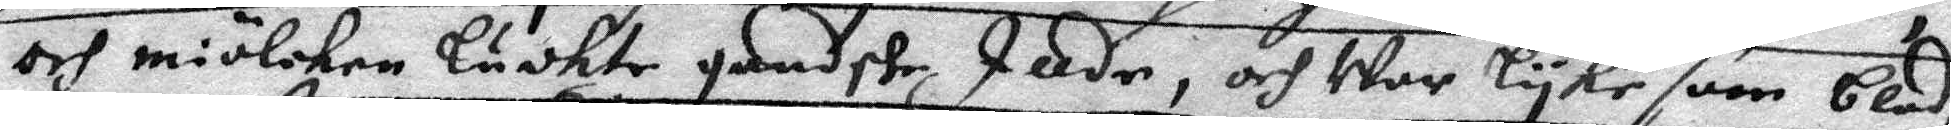och miölcken Luckte gandske Ille, och War lyke som blod¬
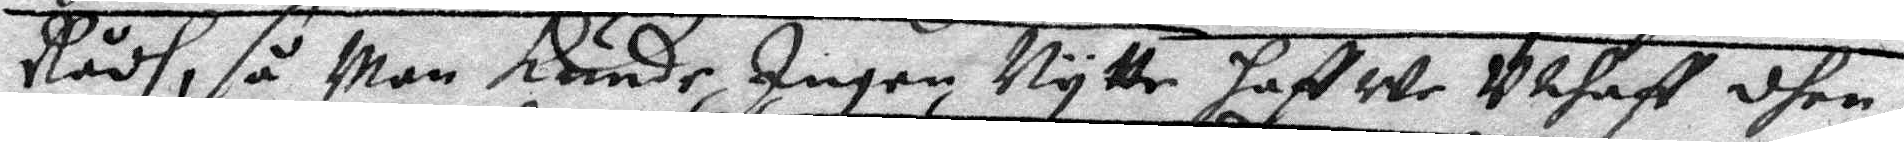Rådh, så man kunde Ingen Nytte hafwe Uthaff dhen,
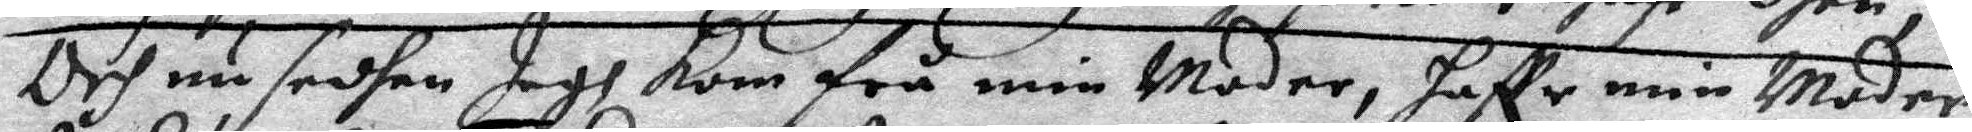Och nu sedhan Jagh kom frå min Moder, haffr min Moder
